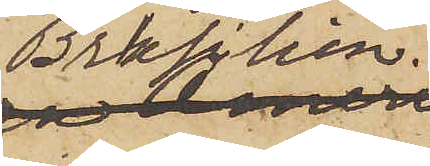Brasilien.
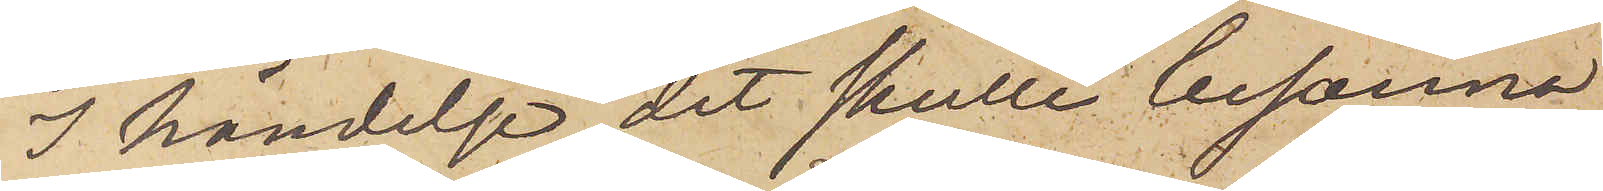I händelse det skulle besanna
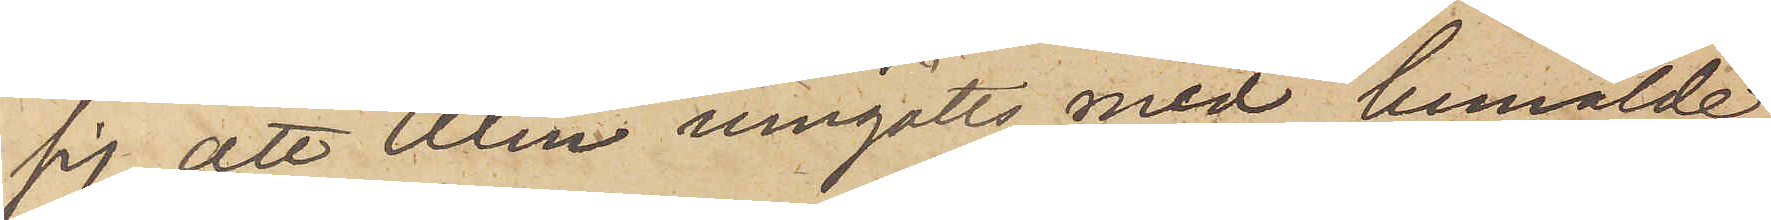sig, att Alm umgåtts med bemälde
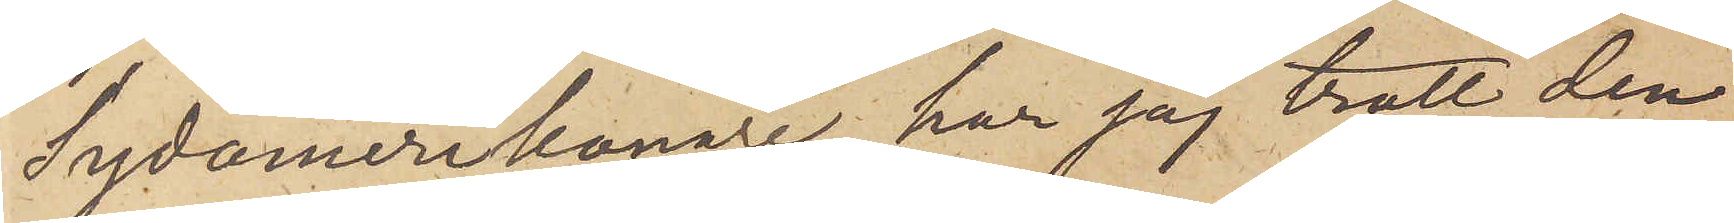Sydamerikanare, har jag trott den
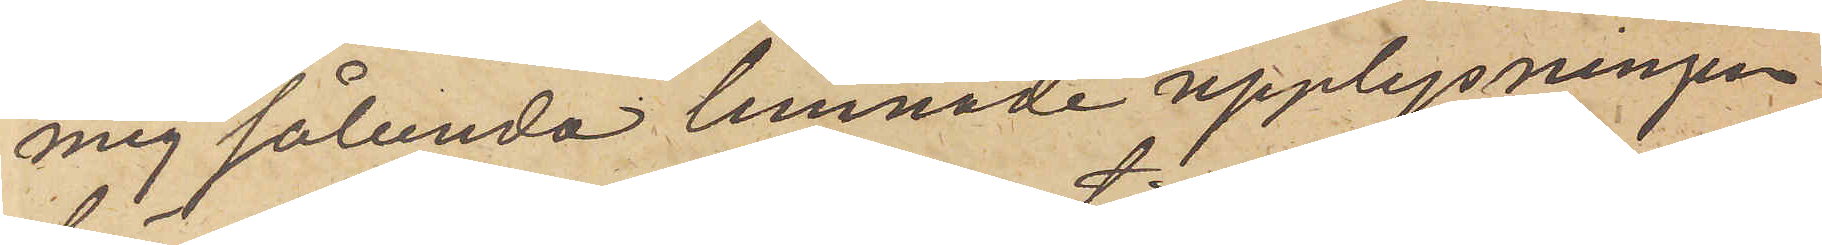mig sålunda lemnade upplysningen.
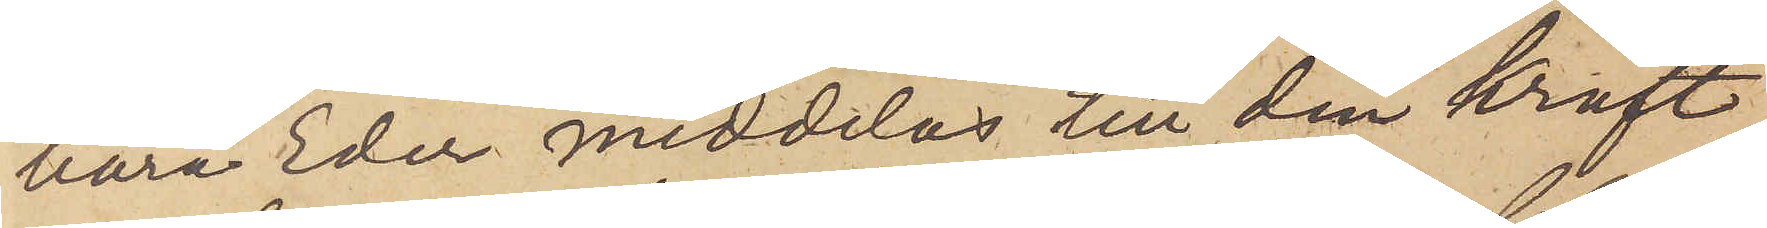böra Eder meddelas till den kraft
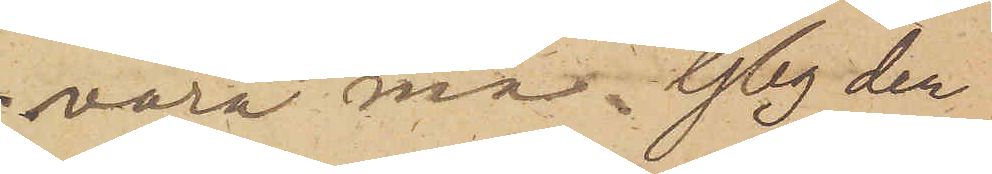vara må. Gbg den
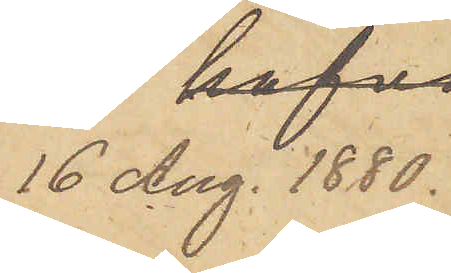16 Aug.1880.
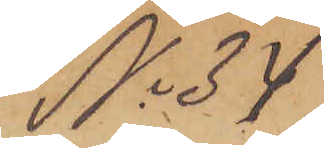No 34
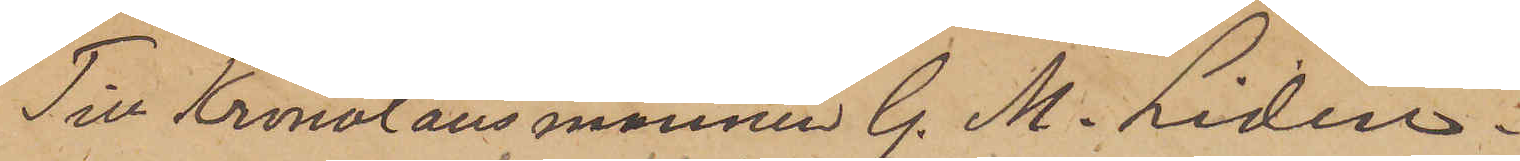Till Kronolänsmannen G. M. Liden i
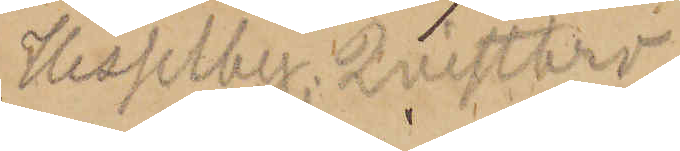Hesselby, Qvistbro
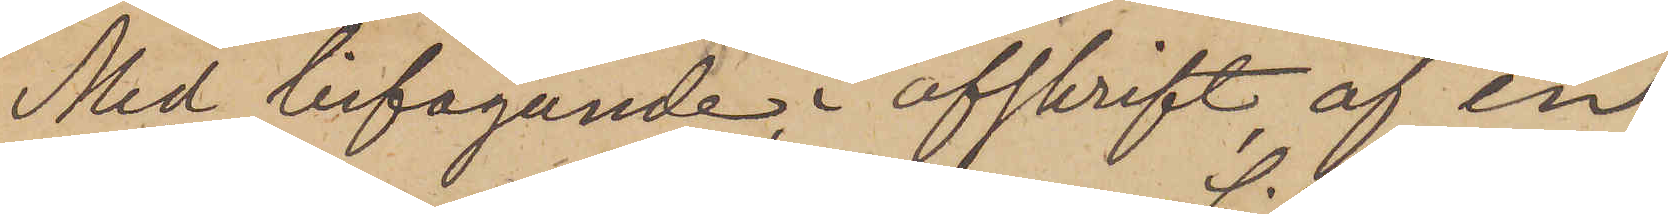Med bifogande, i afskrift af en
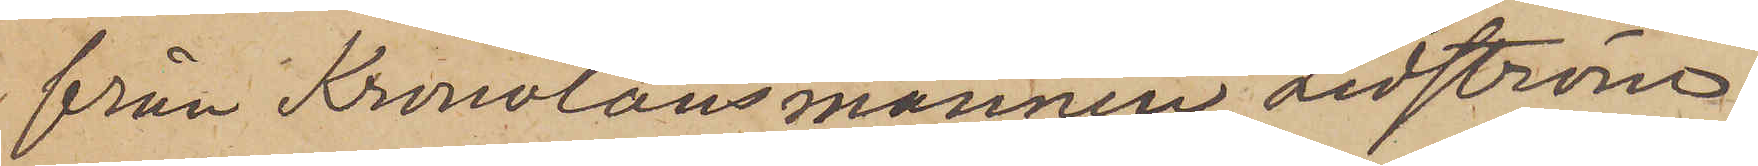från Kronolänsmannen Lidström
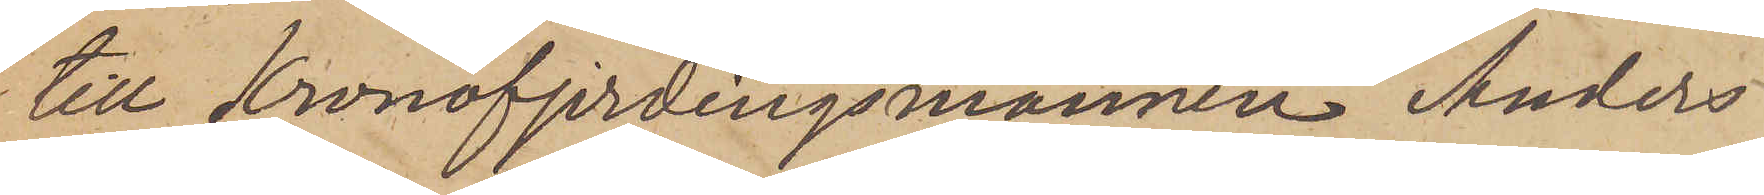till Kronofjerdingsmannen Anders
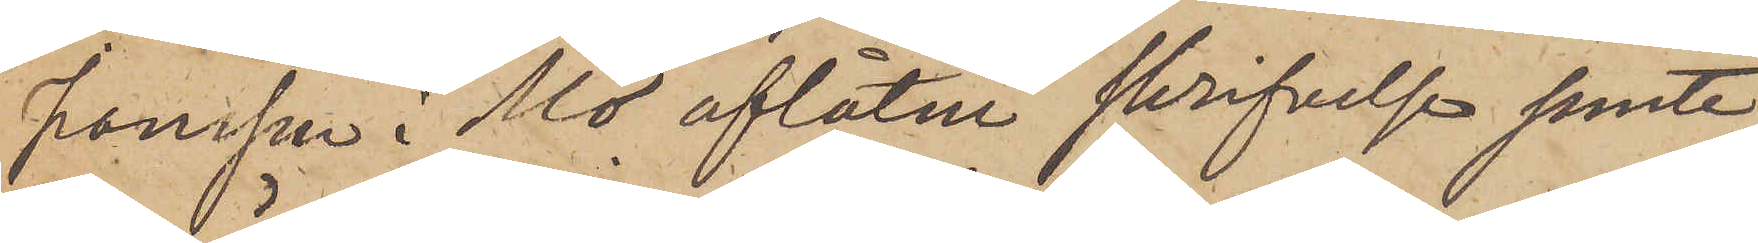Jonsson i Mo aflåtne skrifvelse jemte
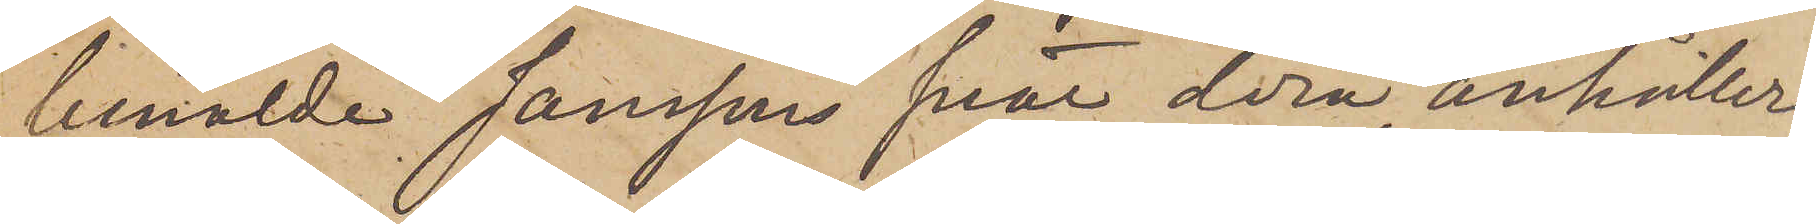bemälde Janssons svar derå, anhåller
